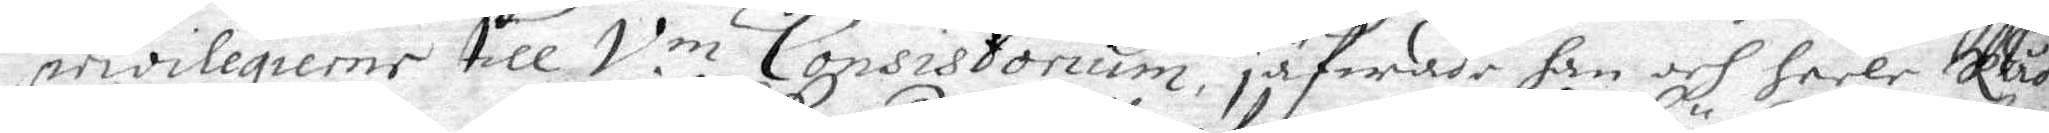privilegierne till V.m Consistorium, jäfwade han och heela Råd¬
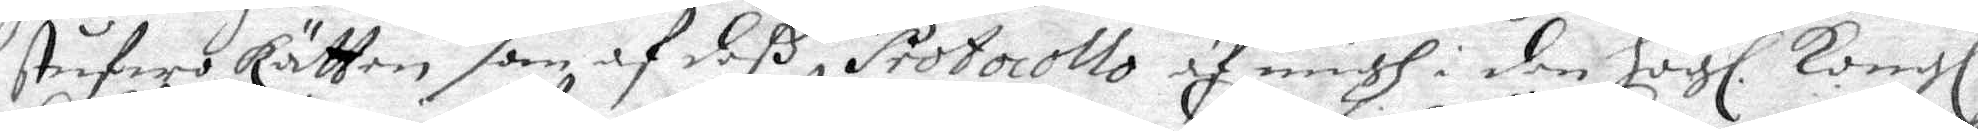stufwo Rätten som af deß Protocollo af migh i den Högl. Kongl.
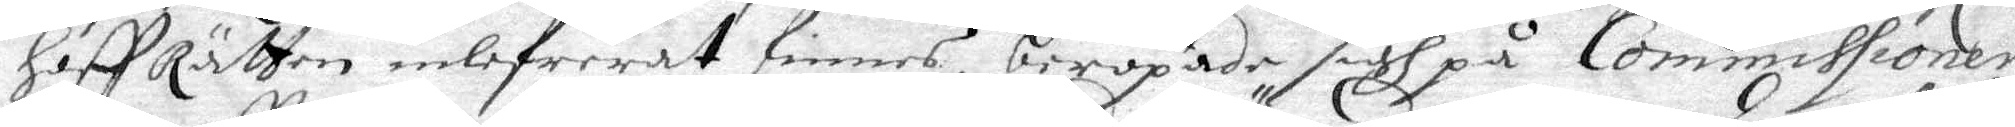Hoff Rätten inlefrerat finnes, beropade sigh på Commissionen
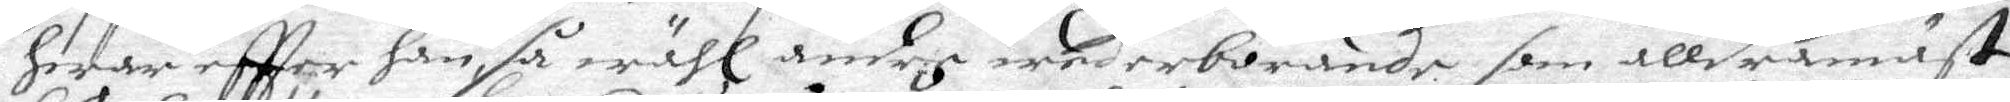hwar effter han så wähl andre wederbörande, som alldramäst
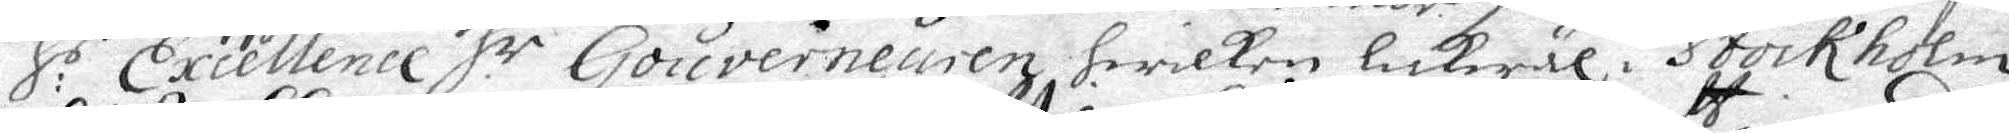H:s Excellence H:r Gouverneuren hwilken lickwäl i Stockholm
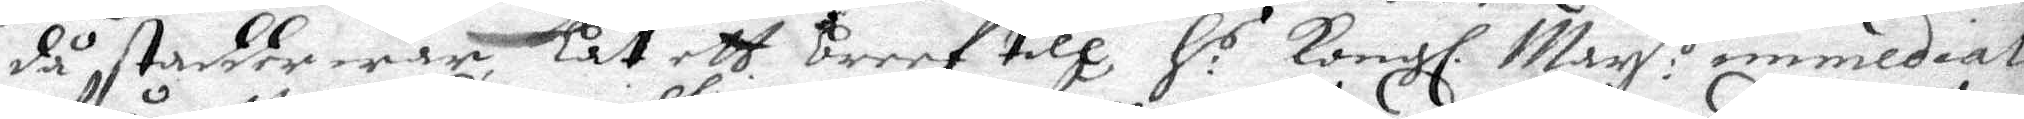då stadder war, lät ett breef till H.r Kongl. May:tt immediate
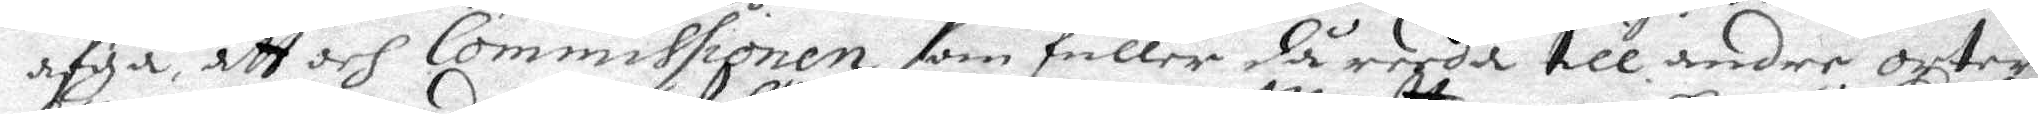afgå, att och Commissionen, som fuller då reeda till andre orter
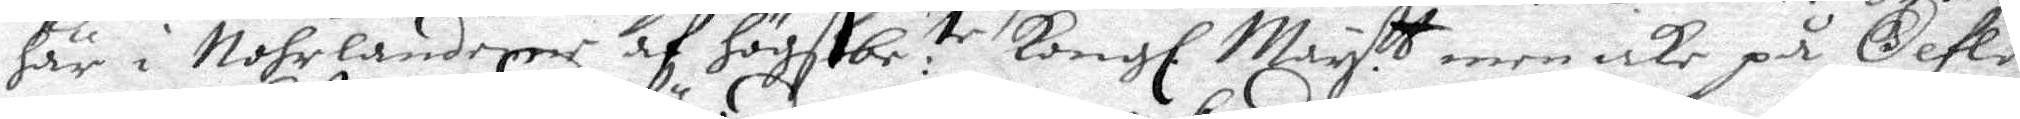här i Nohrlanderne af högstbe:te Kongl. May:tt men icke på Gefle 
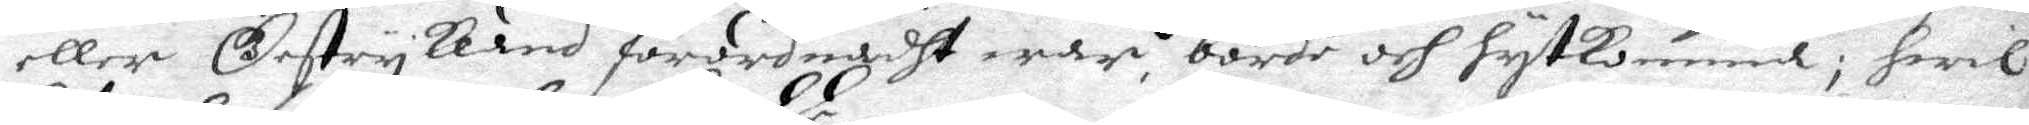eller Gestrykland förordnadht war, borde och hytkomma; hwil¬
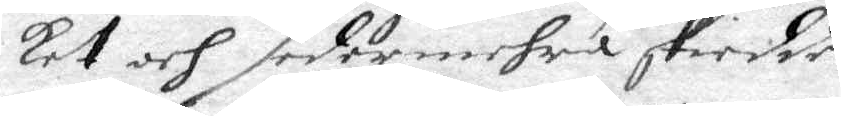ket och sedermehra skiedde.
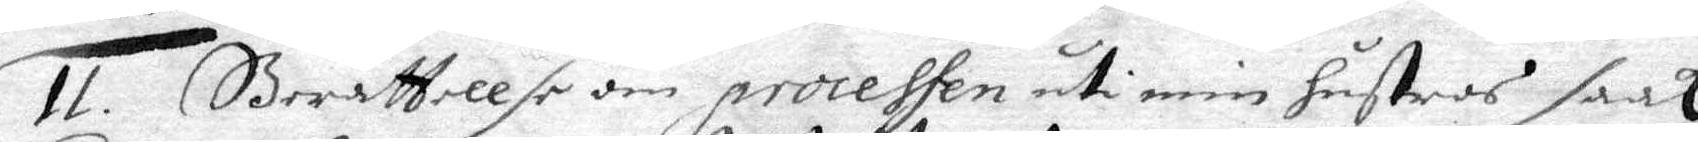II Berättellse om processen uti min hustrus saak.
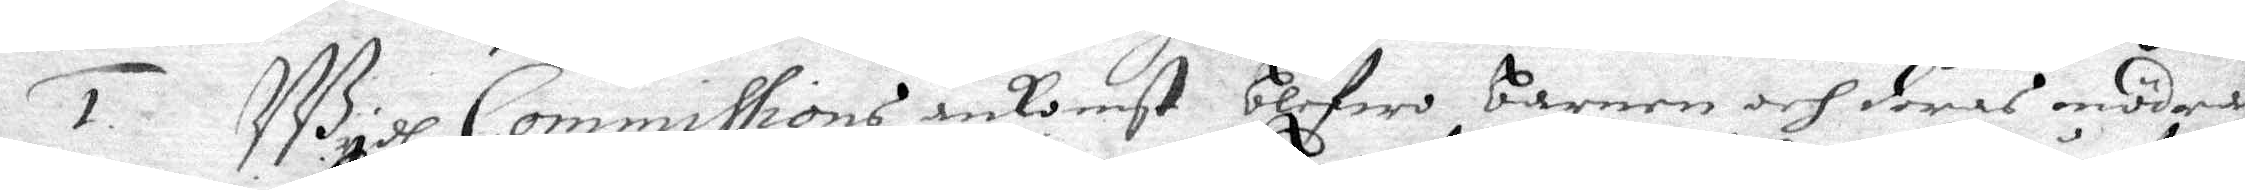1. Wydh Commissions ankomst blifwo barnen och deras mödrar
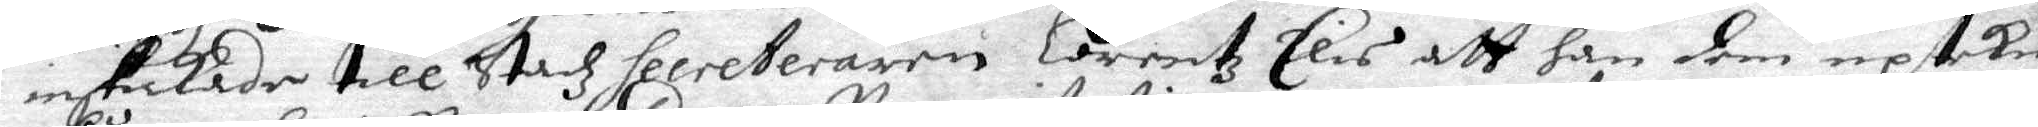inskickade till Stadz secreteraren Lorentz Elis att han dem uptekne
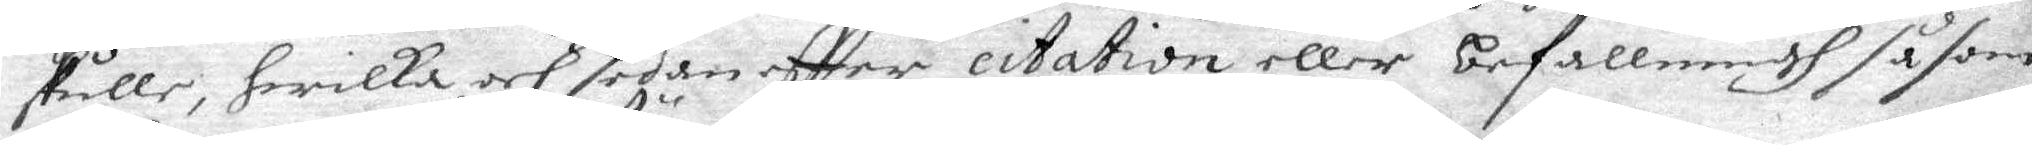skulle, hwilka och sedan effter citation eller befallningh såsom
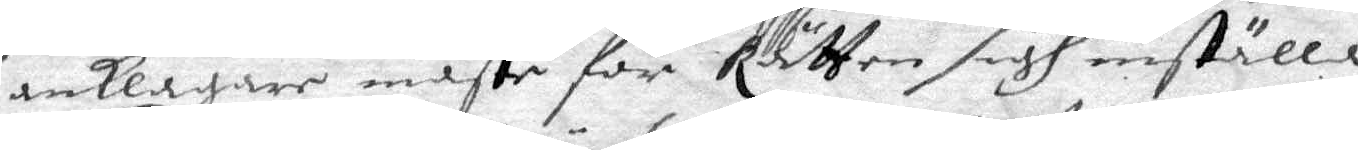anklagare måste för Rätten sigh inställa.
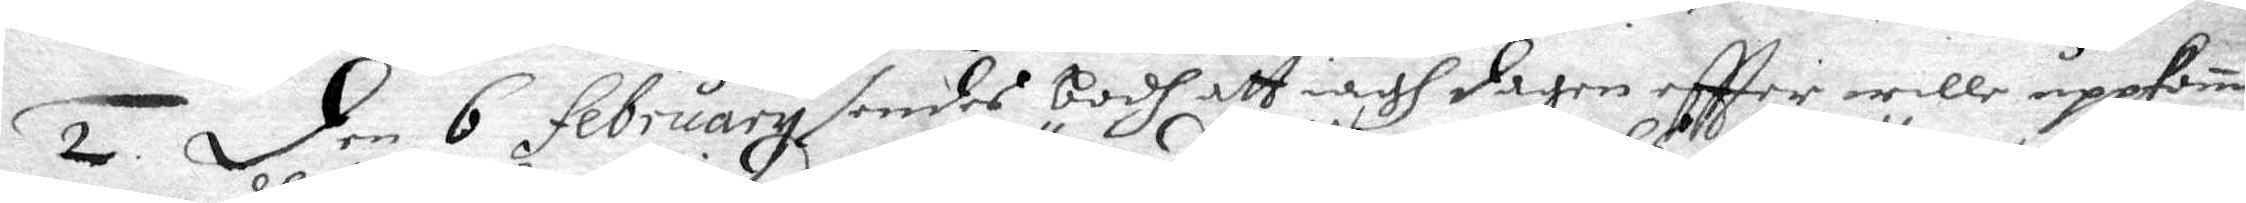2. Den 6 february sendes bodh att iagh dagen effter wille uppkom
